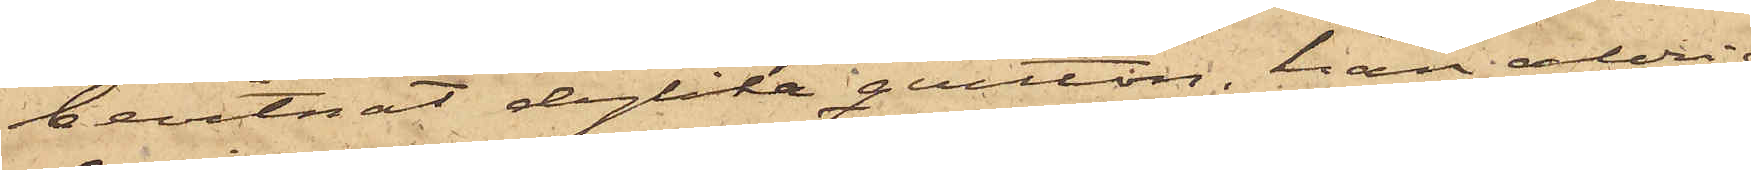bevitnat dylika qvitton, han aldrig
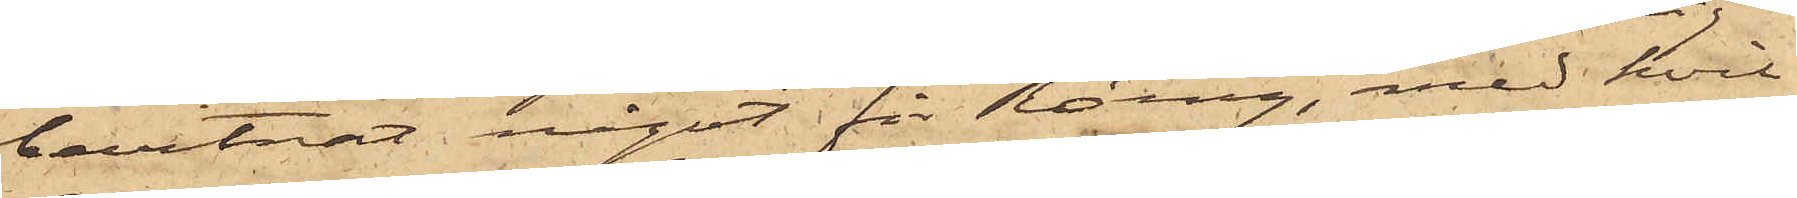bevitnat något för Röing, med hvil¬
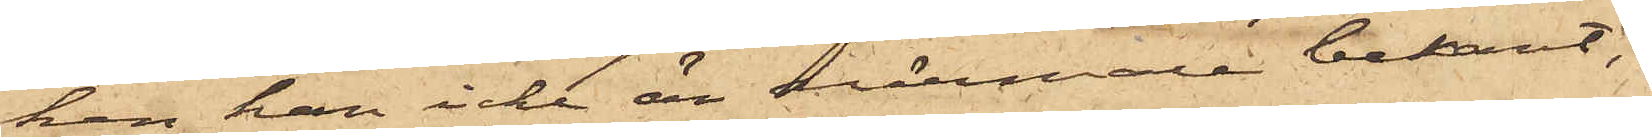ken han icke är närmare bekant;
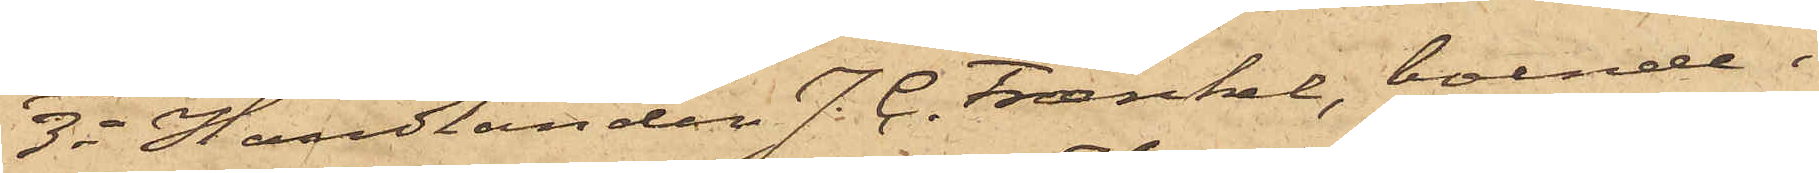3o Handlanden J. C. Fræaenkel, boende i
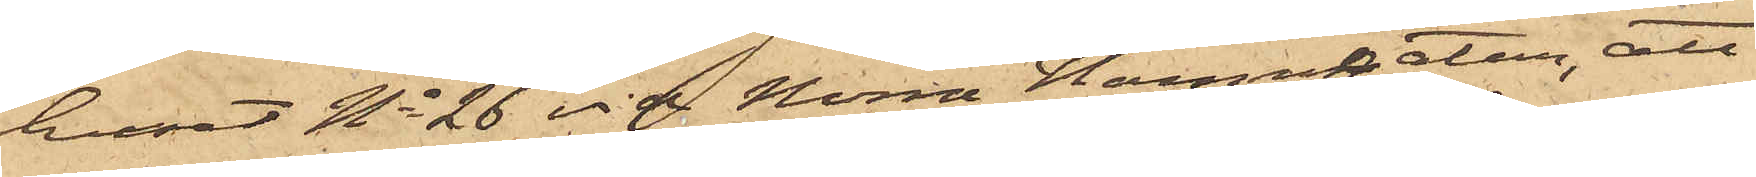huset No 26 vid Norra Hamngatan, att
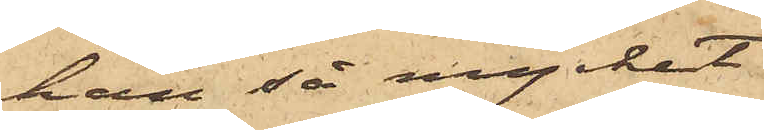han så mycket
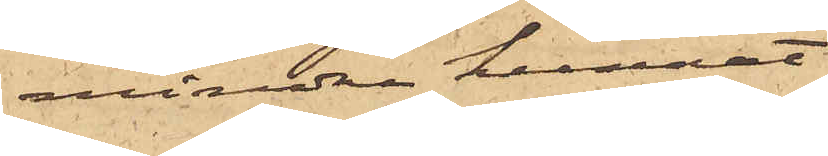mindre kunnat
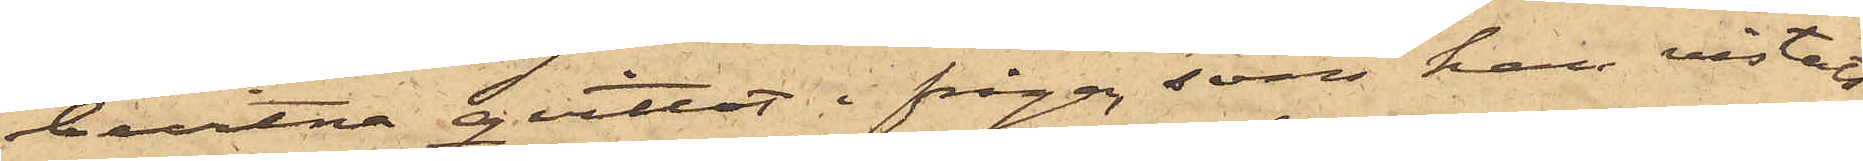bevitna qvittot ifråga, som han vistats
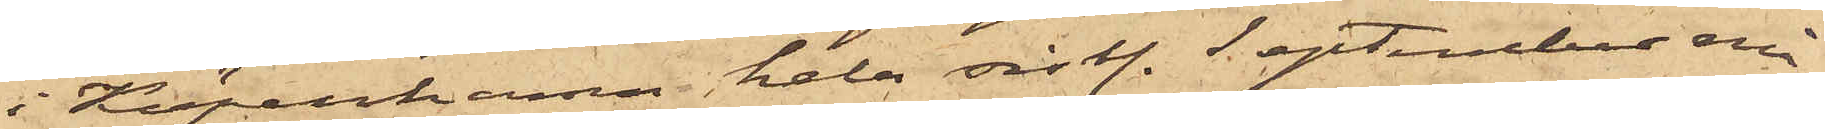i Köpenhamn hela sist. September må¬
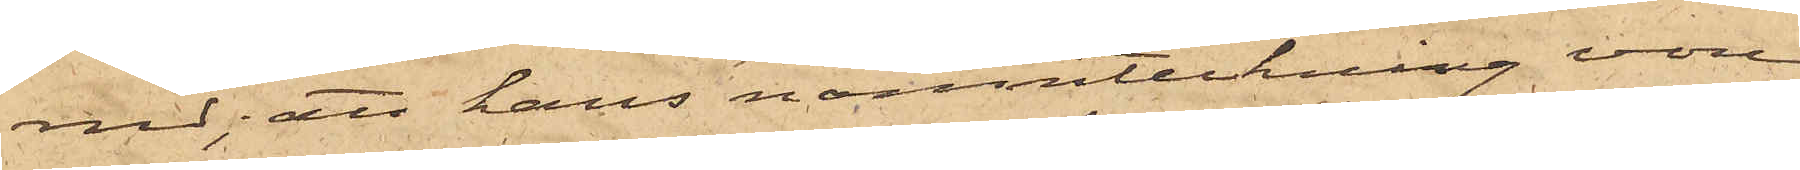nad; att hans namnteckning vore
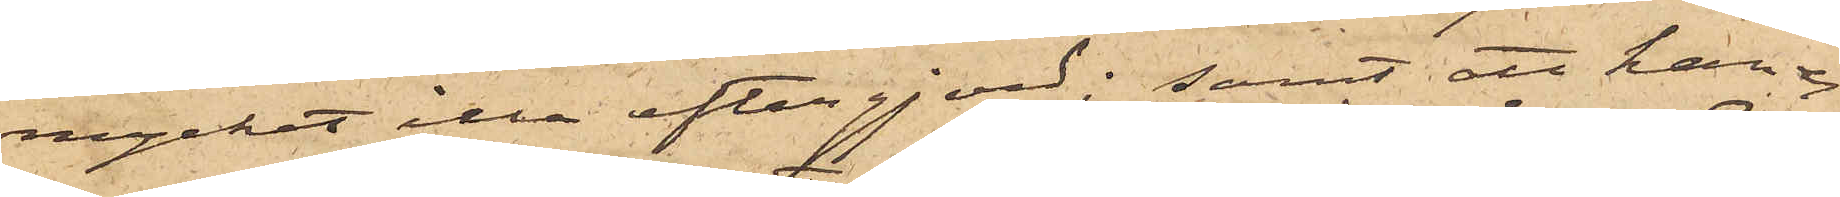mycket illa eftergjord; samt att han ej
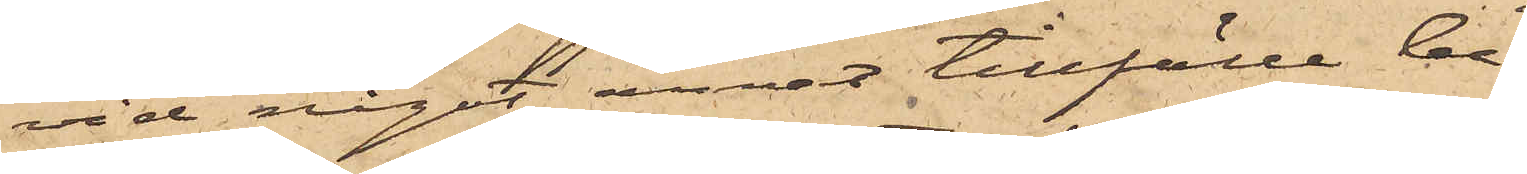vid något annat tillfälle be¬
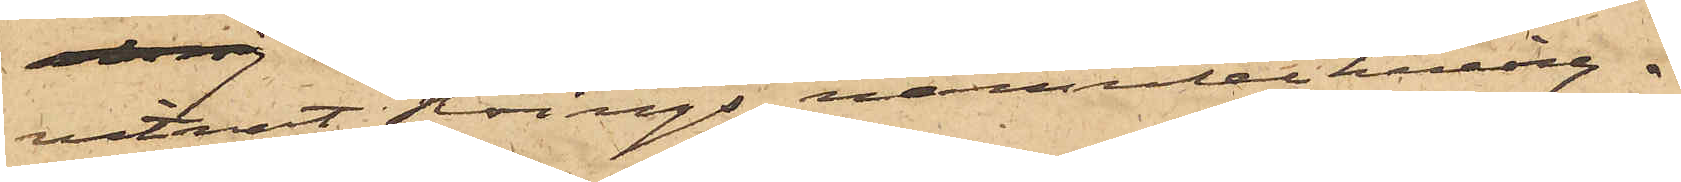vitnat Röings namnteckning.
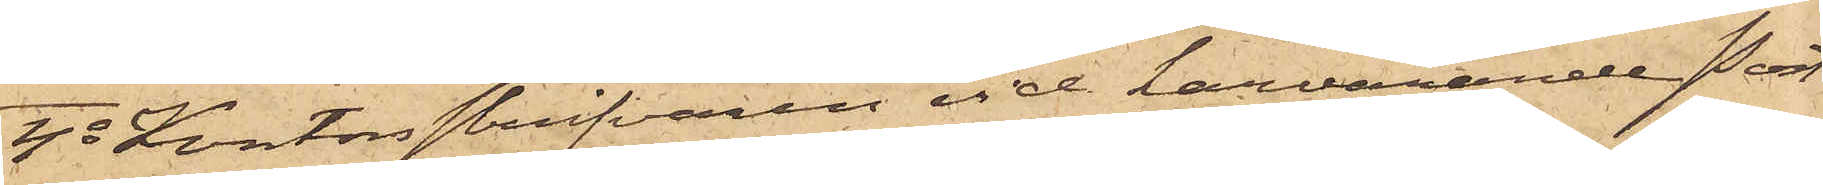4o Kontorsskrifvaren vid härvarande Post¬
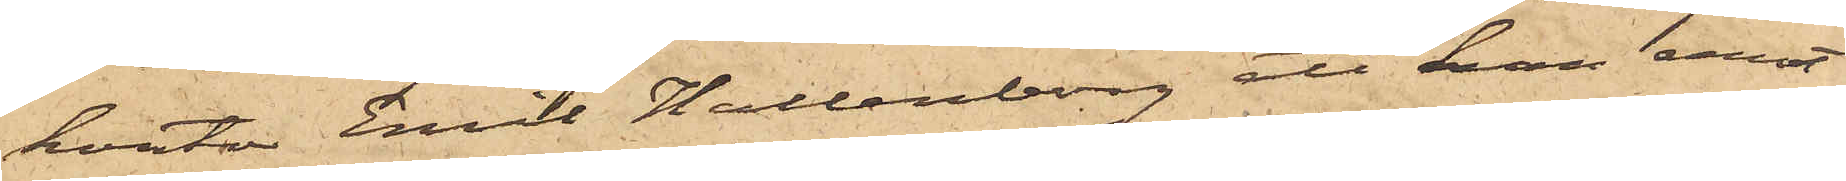kontor Emil Hallenberg att han emot
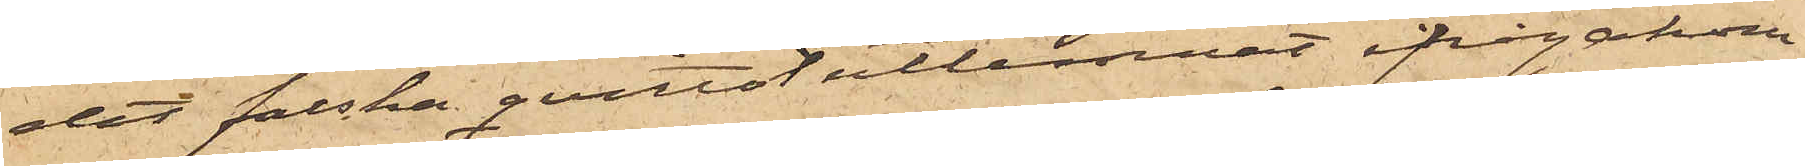det falska qvittot utlemnat ifrågakom¬
